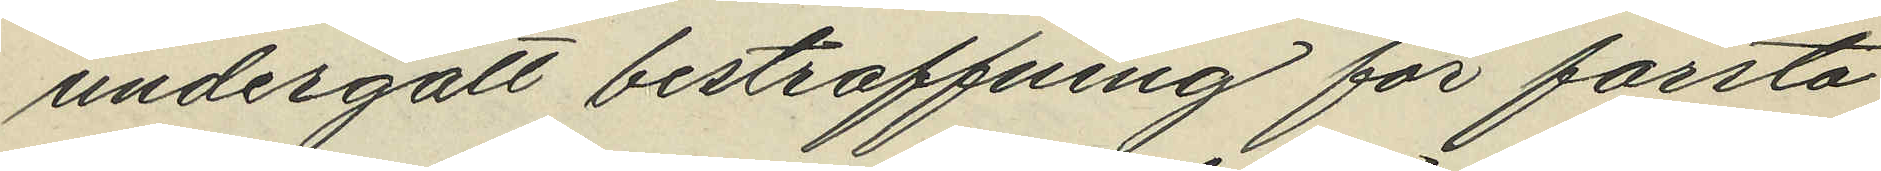undergått bestraffning för första
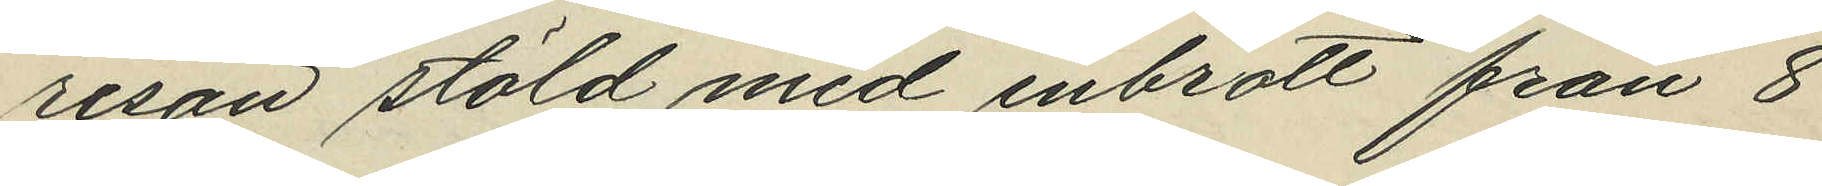resan stöld med inbrott från 8
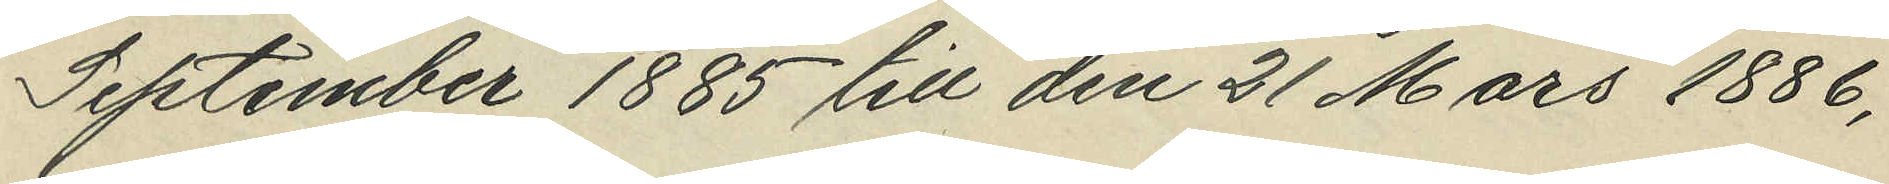September 1885 till den 21 Mars 1886,
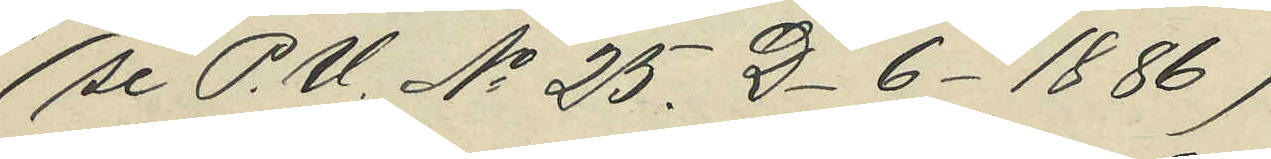(se P.U. No 25. D 6 1886)
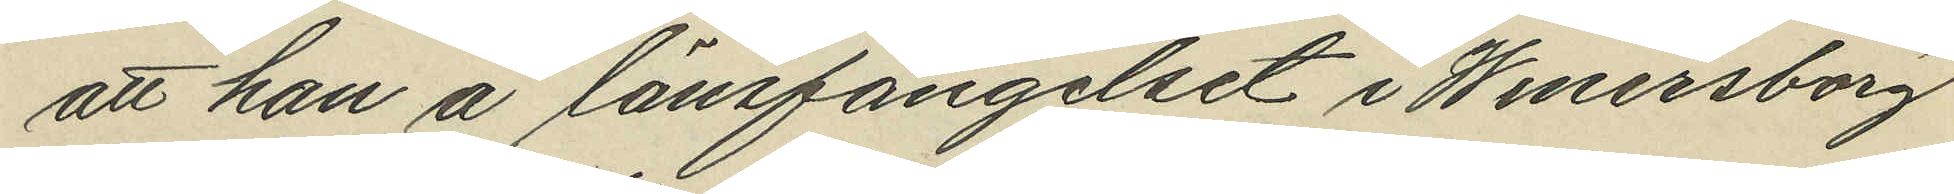att han å länsfängelset i Wenersborg
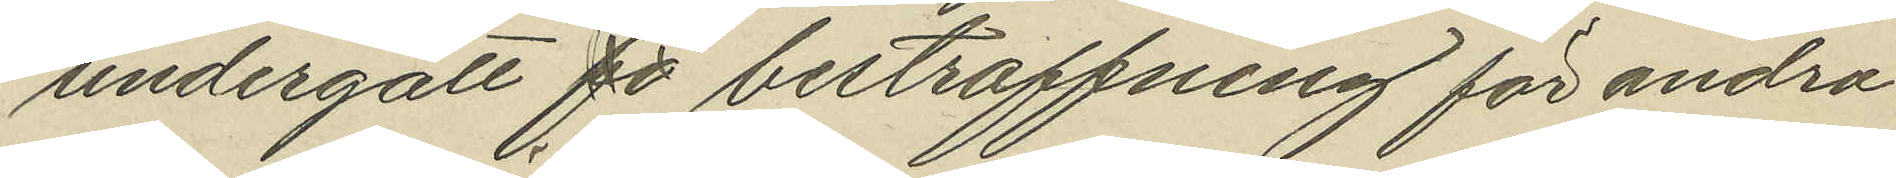undergått bestraffning för andra
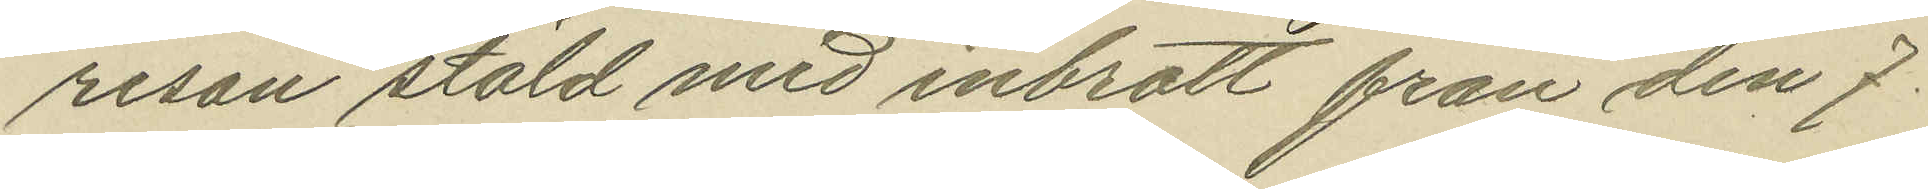resan stöld med inbrott från den 7
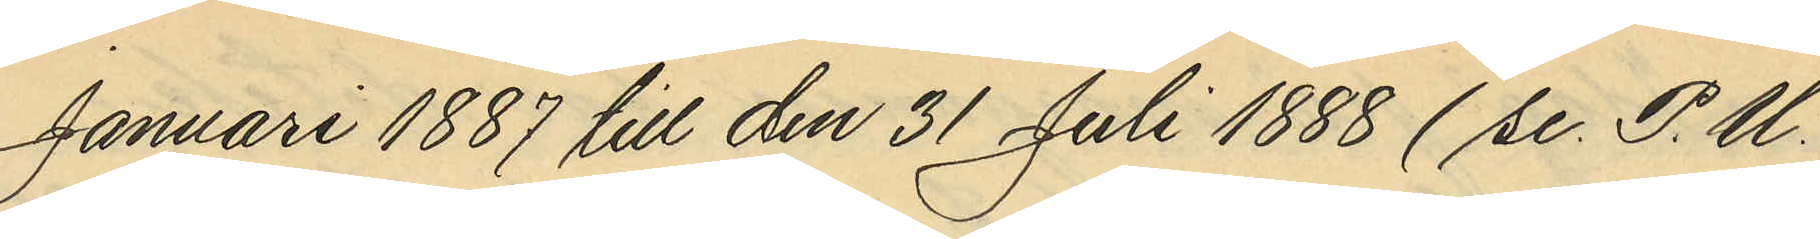Januari 1887 till den 31 Juli 1888 (se P.U.
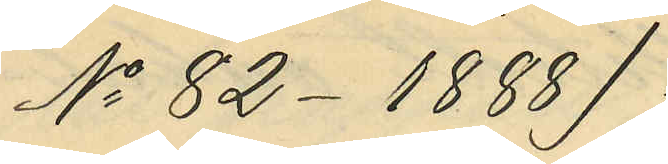No 82 1888);
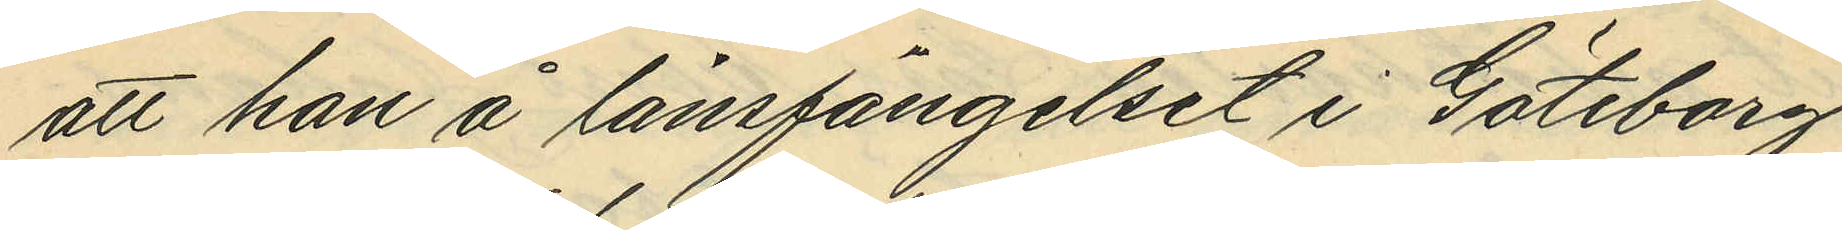att han å länsfängelset i Göteborg
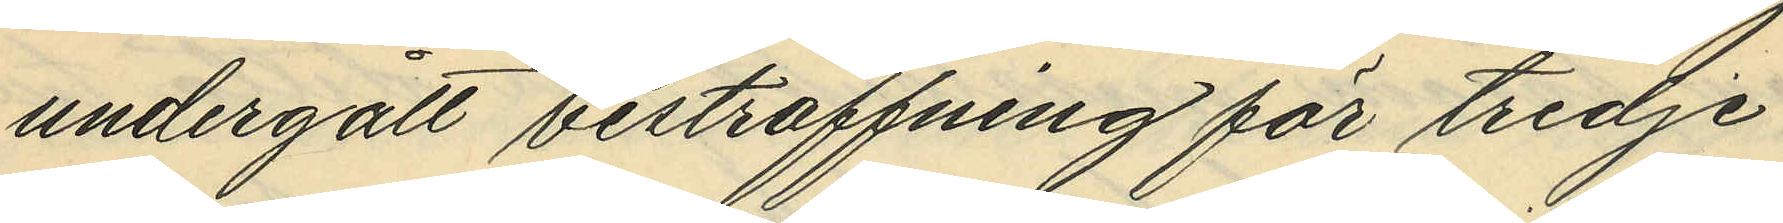undergått bestraffning för tredje
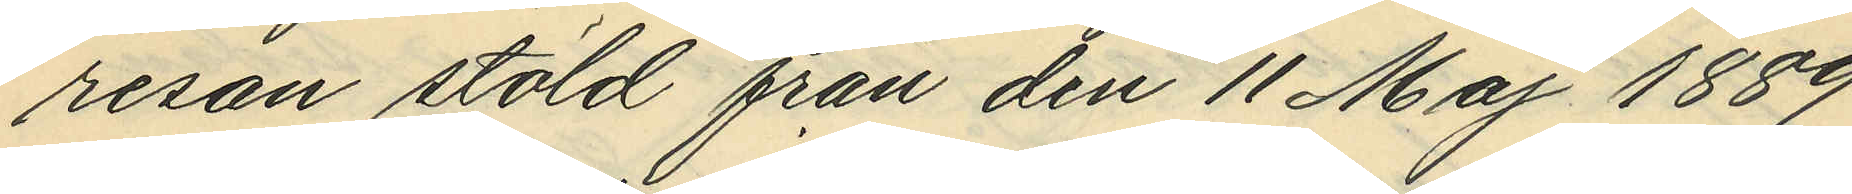resan stöld från den 11 Maj 1889
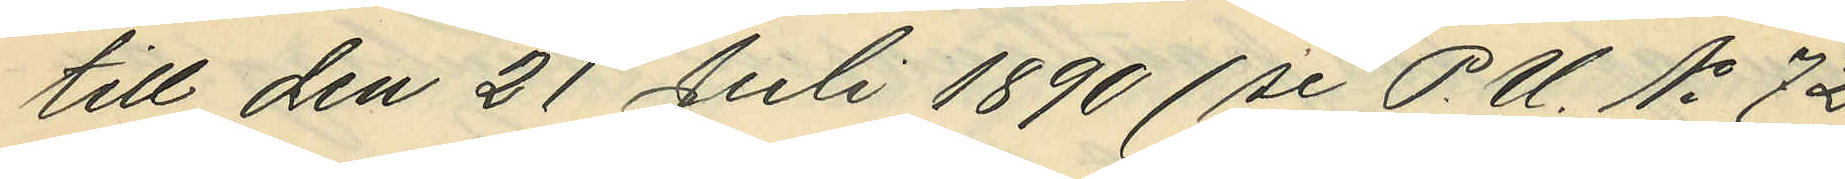till den 21 Juli 1890 (se P.U. No 72
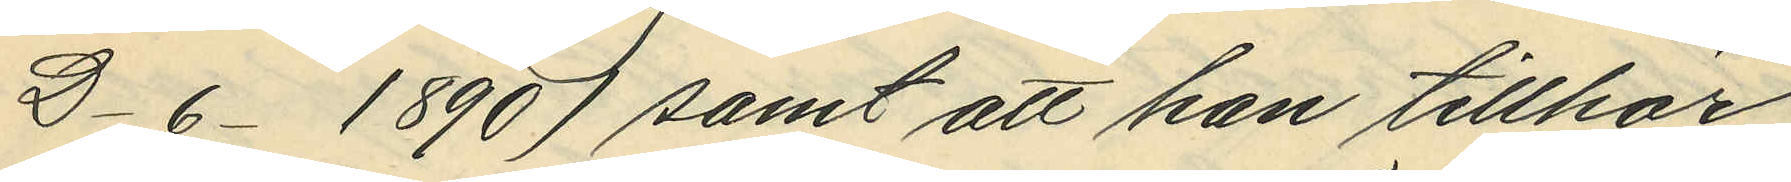D 6 1890) samt att han tillhör
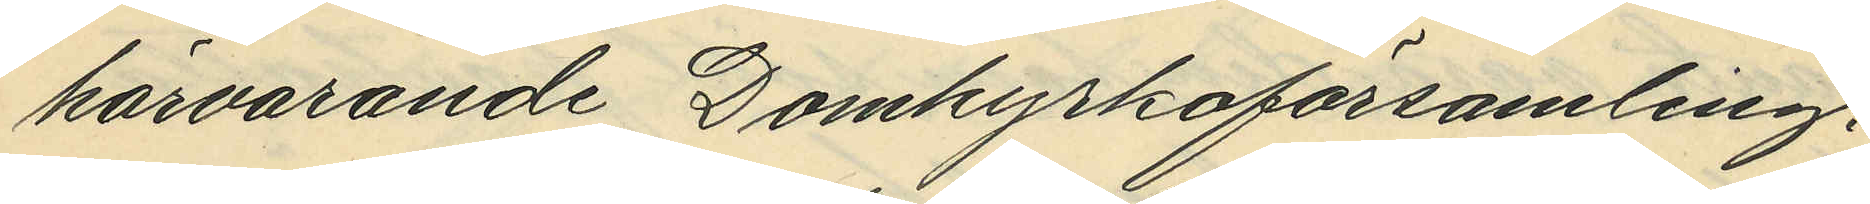härvarande Domkyrkoförsamling,
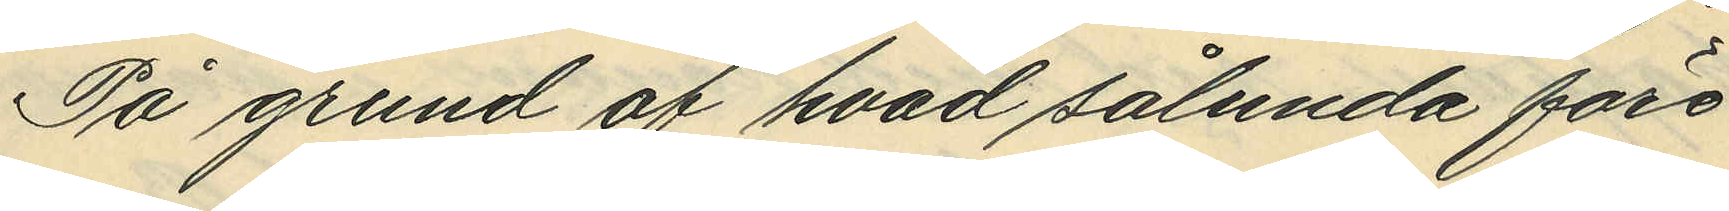På grund av hvad sålunda före¬
